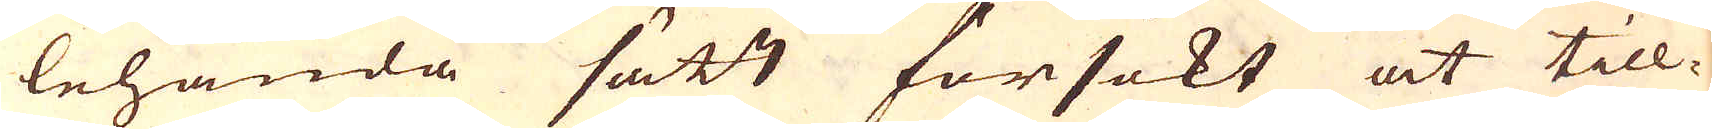lehanda sätt försökt at till-
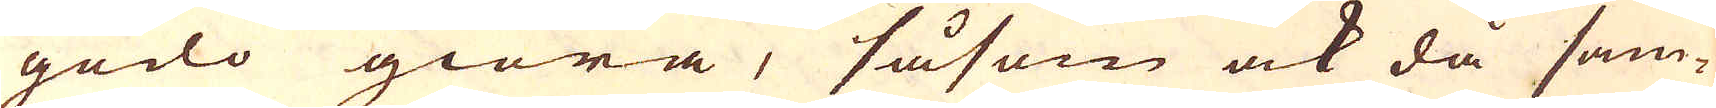godo giöra, såsom ock då sam-
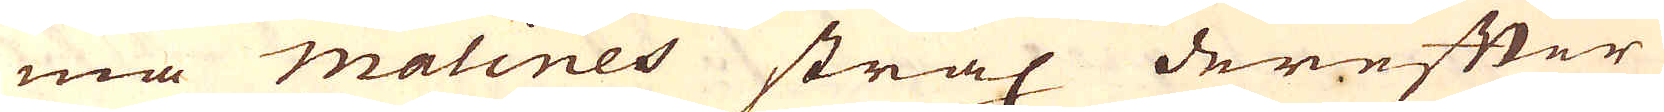ma Malines strax derefter
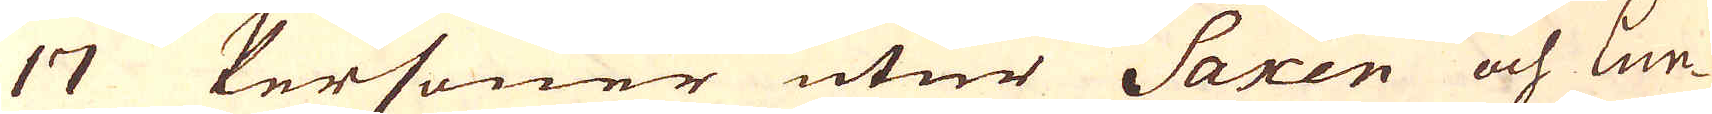17 Personer utur Saxen och Lun-
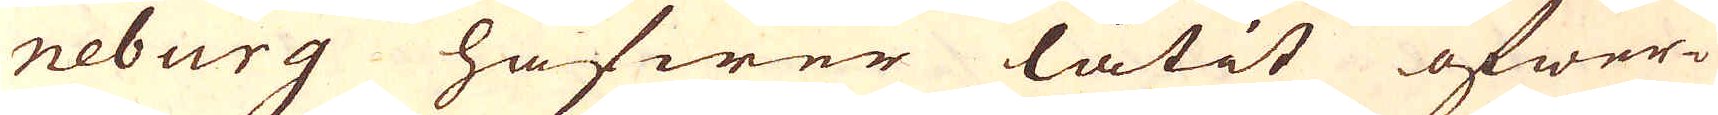neburg hafwer låtit öfwer-
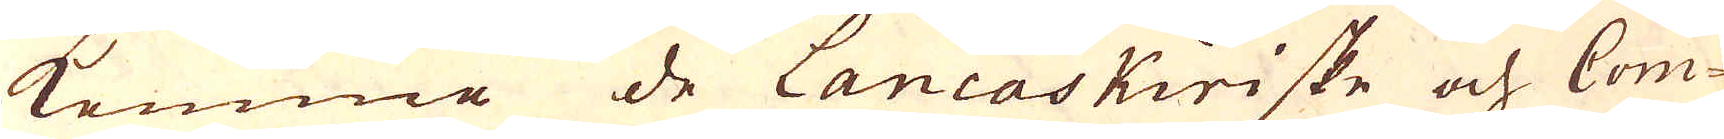komme de Lancaskiriske och Com-
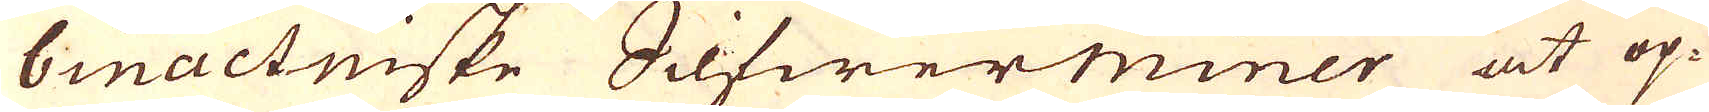binactniske Silfwerminer at op-
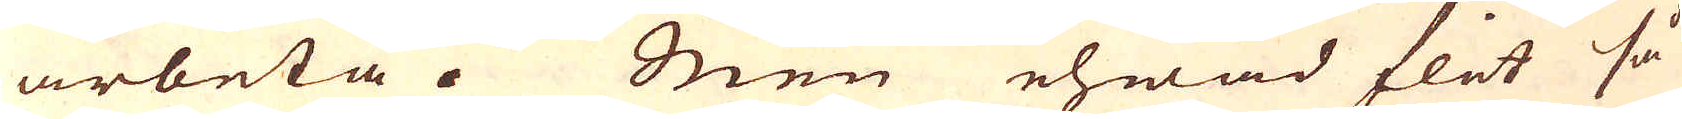arbeta. Men ehwad flit så
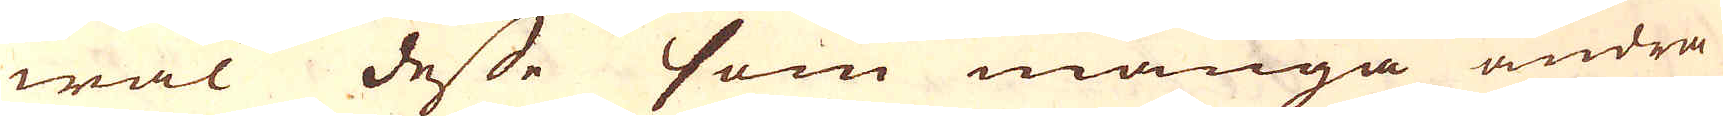wäl desse som många andra
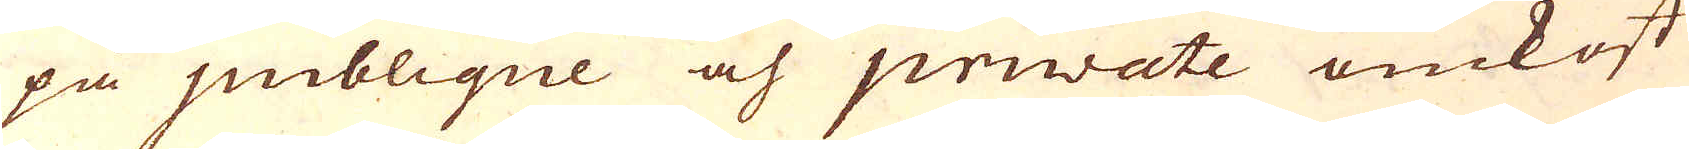på puiblique och priwate omkost-
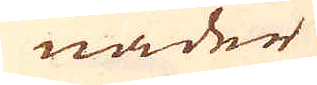nader
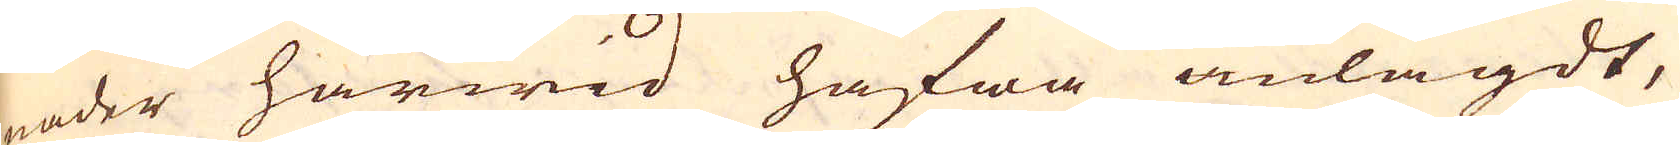nader härwid hafwa anlagdt,
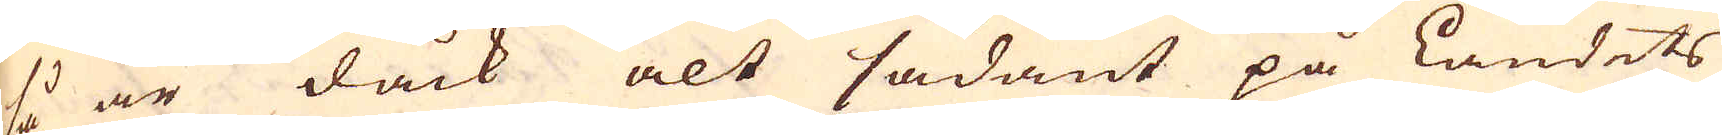så är dåck alt sådant på Landets
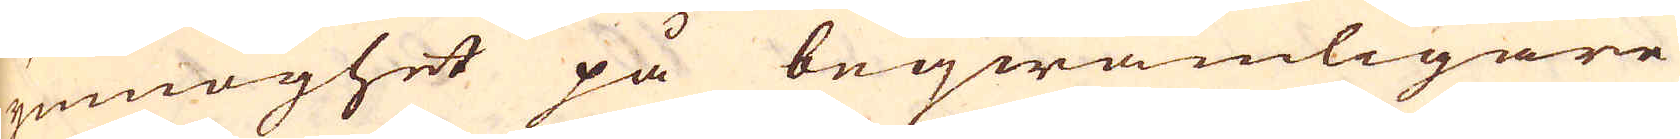ymnoghet på beqwämligare
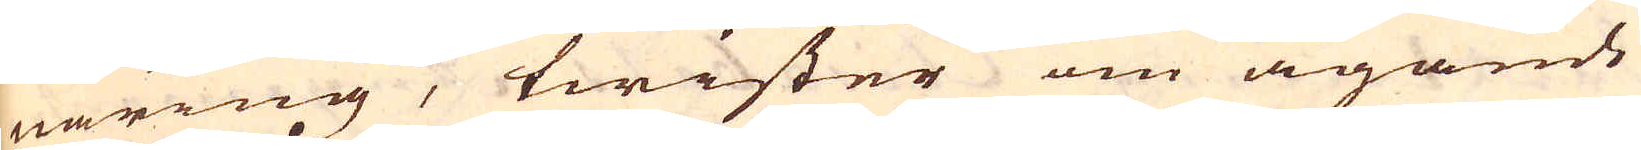näring, twister om ägande
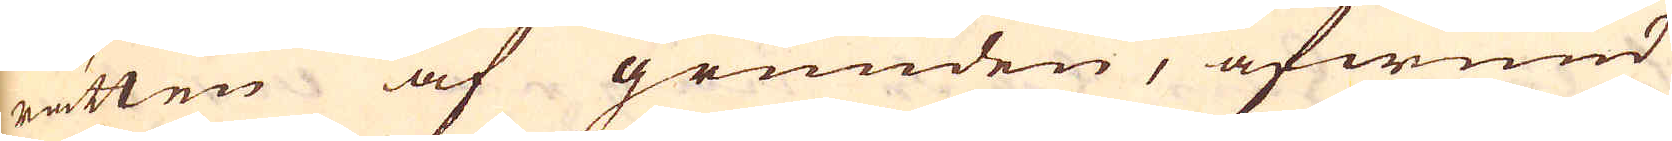rätten af grunden, afwund
